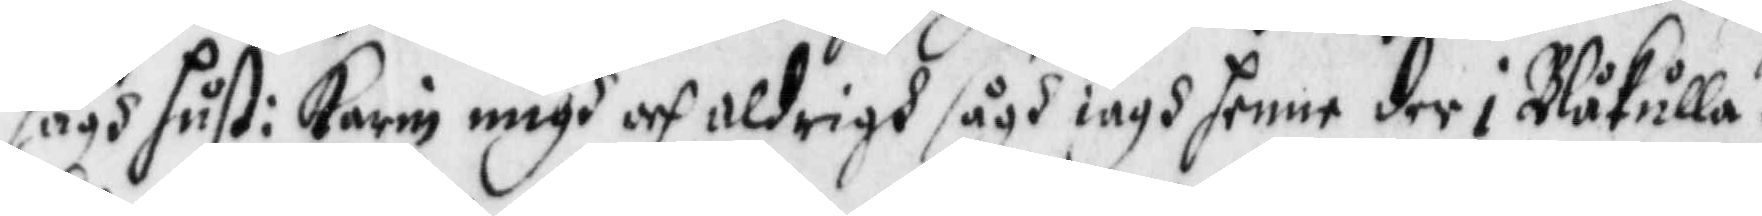sågh hust: Karin migh och aldrigh sågh iagh henne der i Blåkulla.
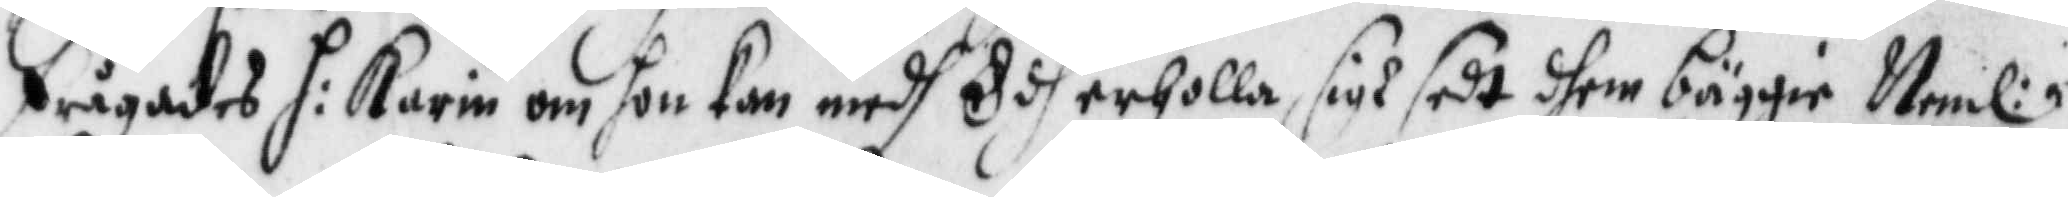frågades h: Karin om hon kan medh Edh erholla sigh sedt dhem bäggie Neml:
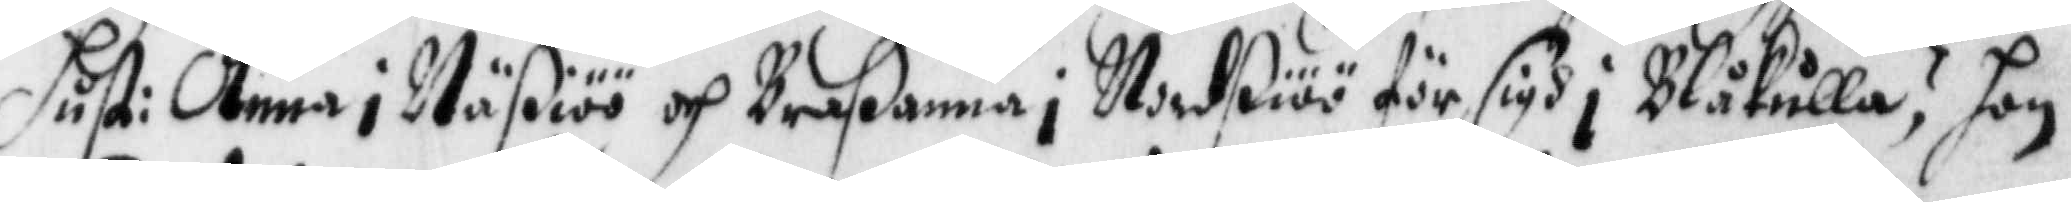hust: Anna i Näßiöö och Braßanna i Nordßiöö för sigh i Blåkulla? hon
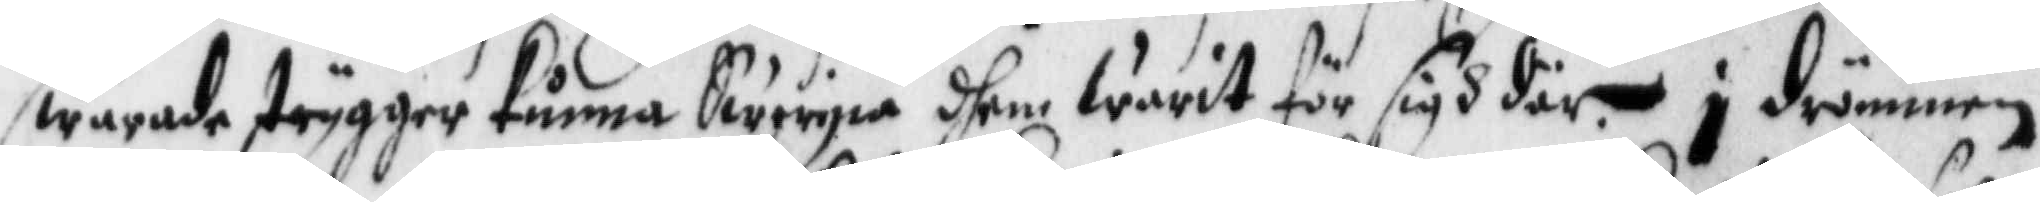swarade trygger kunna Swergia dhem Warit för sigh där i drömmen
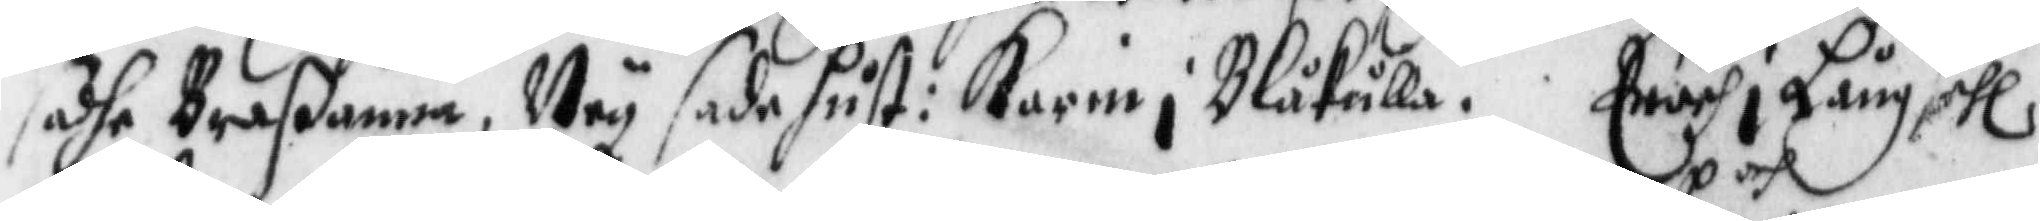sade Braßanna, Ney sade hust: Karin i Blåkulla. Enoch i Långsehl
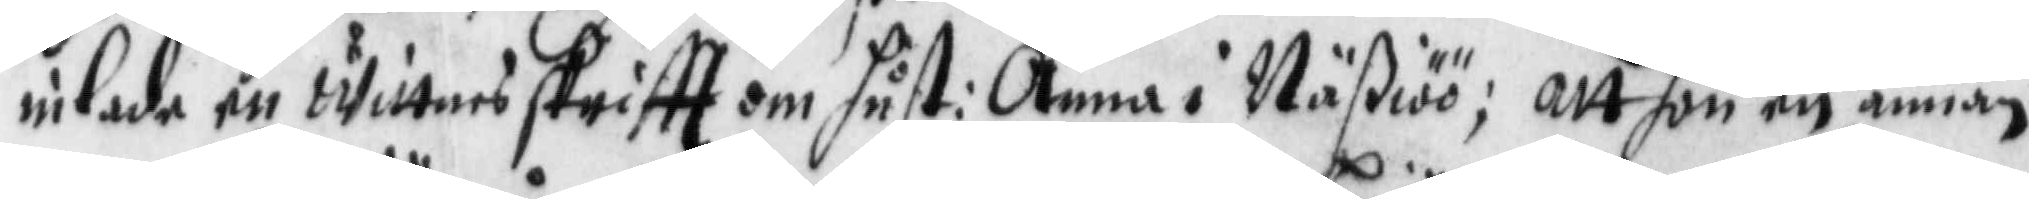inlade en wittnes skrifft om hust: Anna i Näßiöö; att hon och en annan
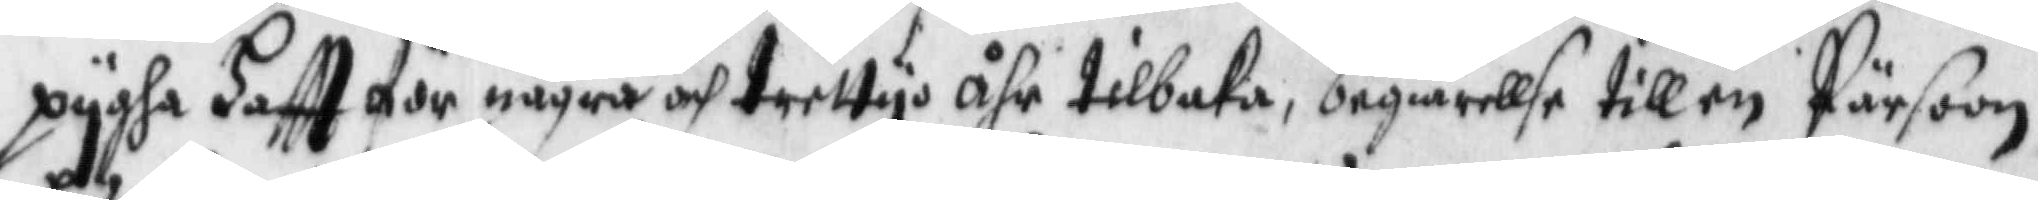pygha Haftt för några och trettyo åhr tilbaka, begiärellse till en Pärsoon,
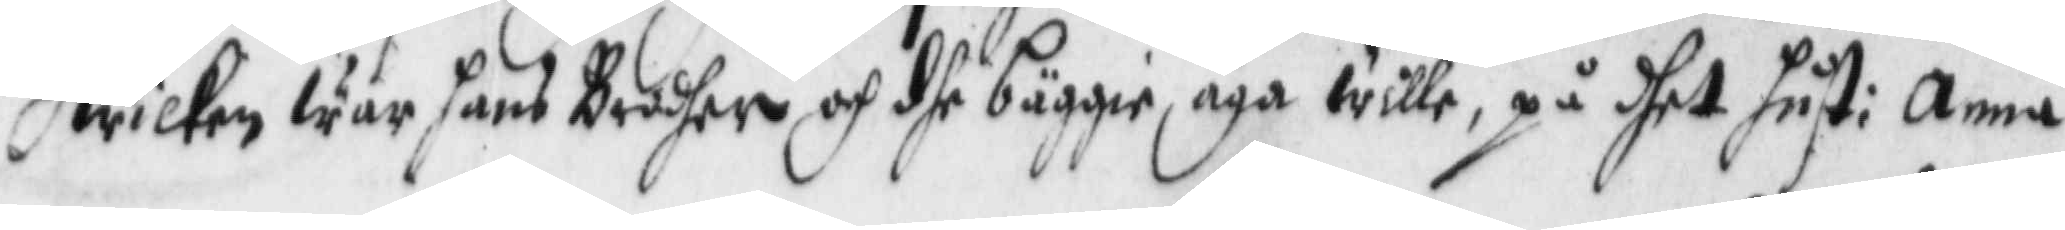hwilken war hans Brodher och dhe bäggie äga wille, på dhet hust: Anna
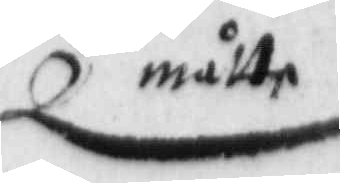måtte
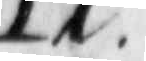17.
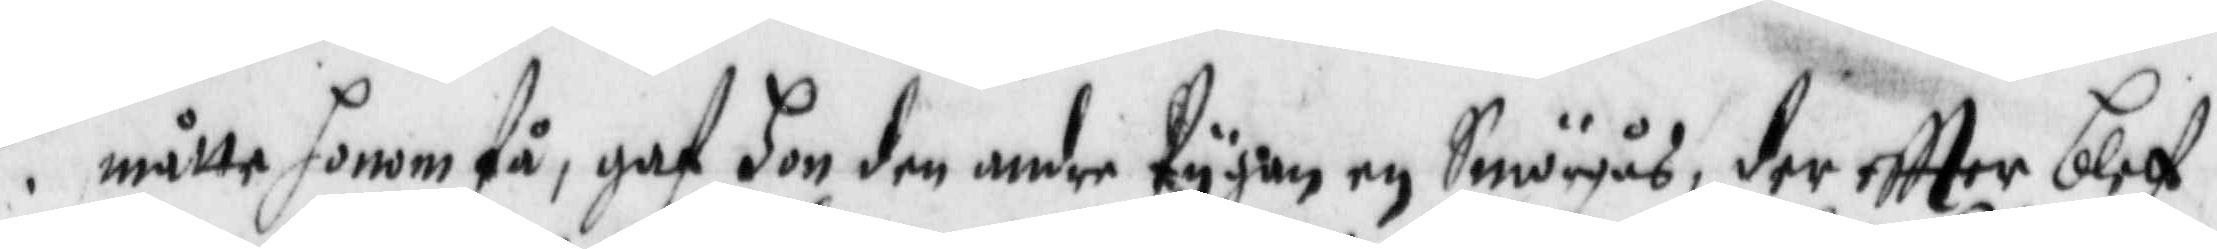måtte honom få, gaf hon den andre Pygan en Smörgås, der eftter blef
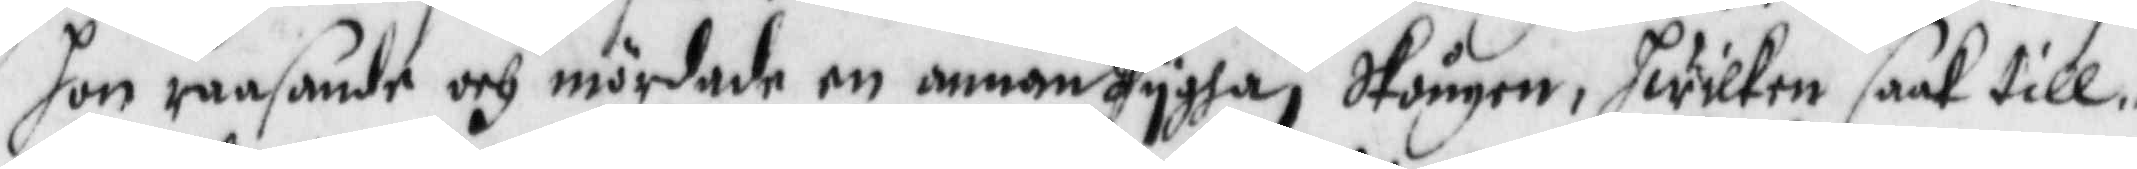hon raasande och mördade en annan Pygha i Stången, hwilken saak till¬
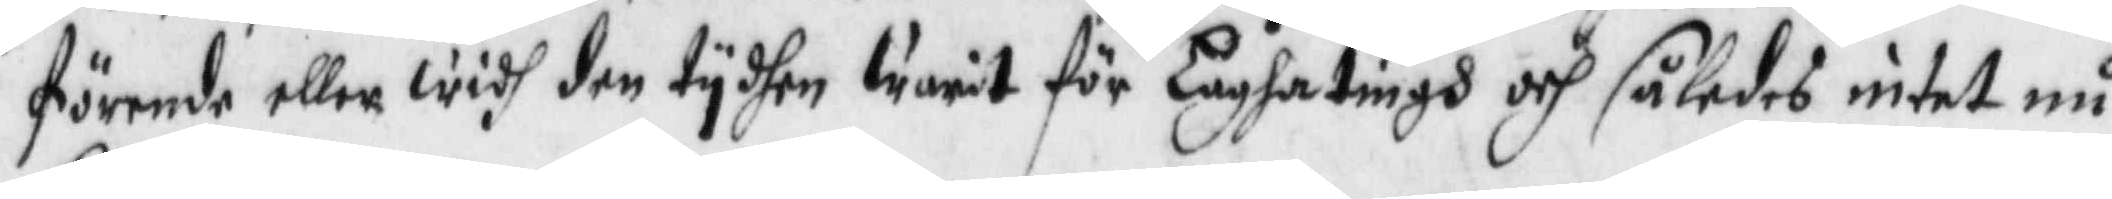förende eller widh den tydhen warit för Lagha tingh och således intet nu
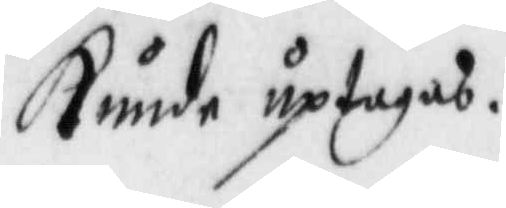kunde uptagas.
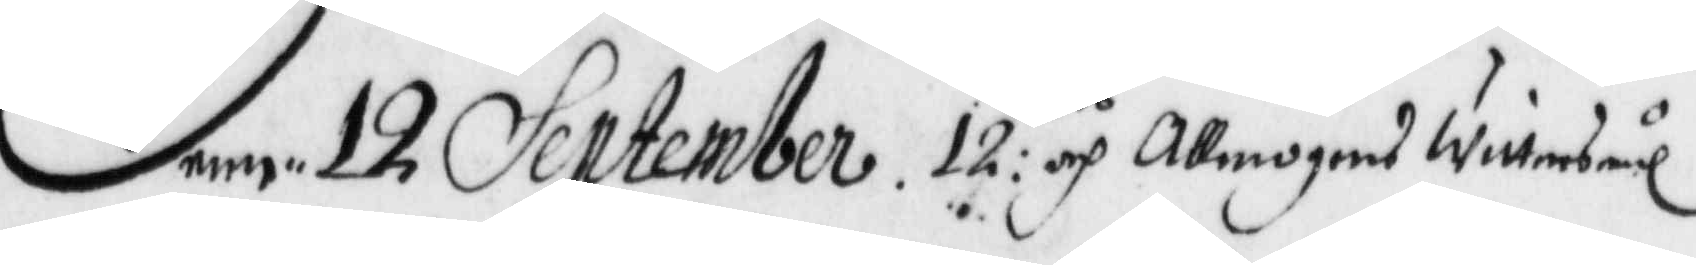Denn 12 September 12 tes och Allmogens wittnesmål
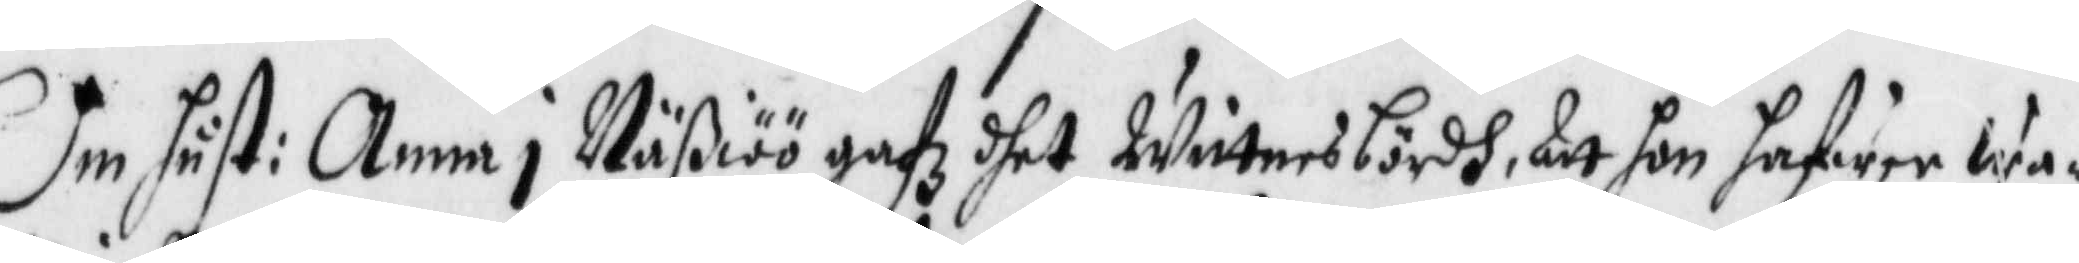Om hust: Anna i Näßiöö gafz dhet wittnesbördh, att hon hafwer wa¬
